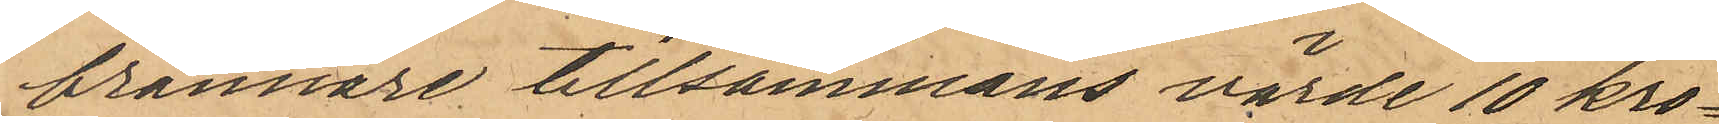brännare tillsammans värde 10 kro¬
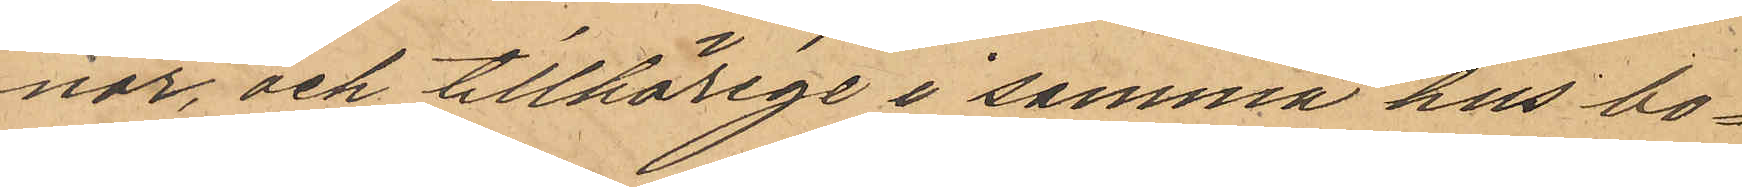nor, och tillhörige i samma hus bo¬
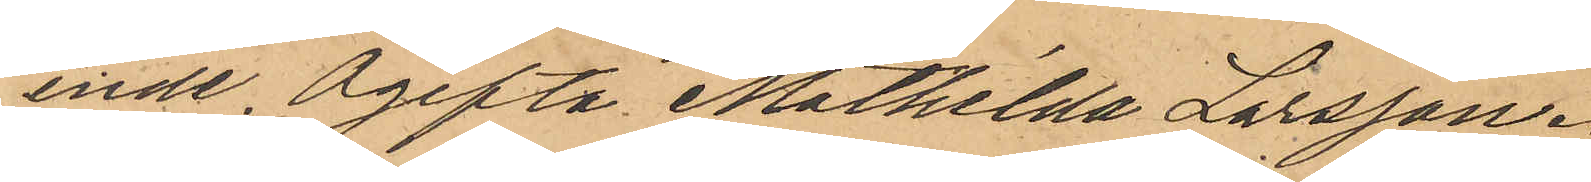ende Ogifta Mathilda Larsson.
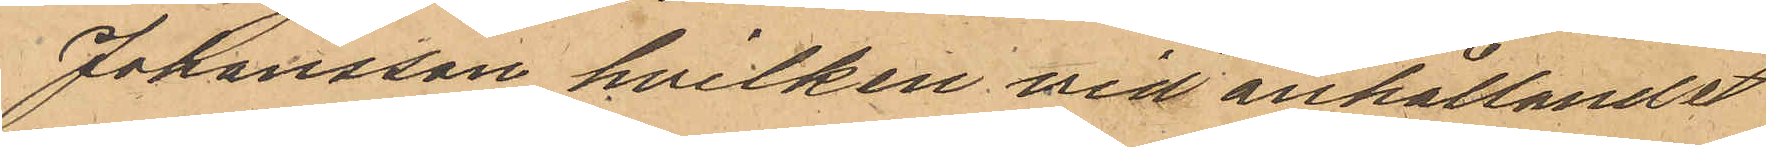Johansson hvilken vid anhållandet
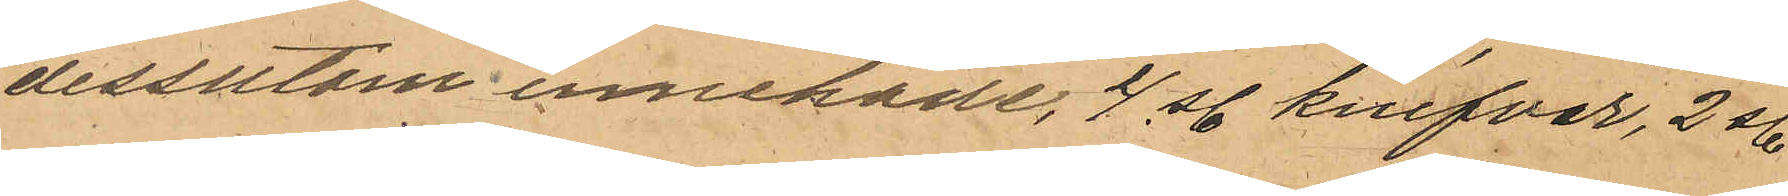dessutom innehade, 4 st knifvar, 2 st
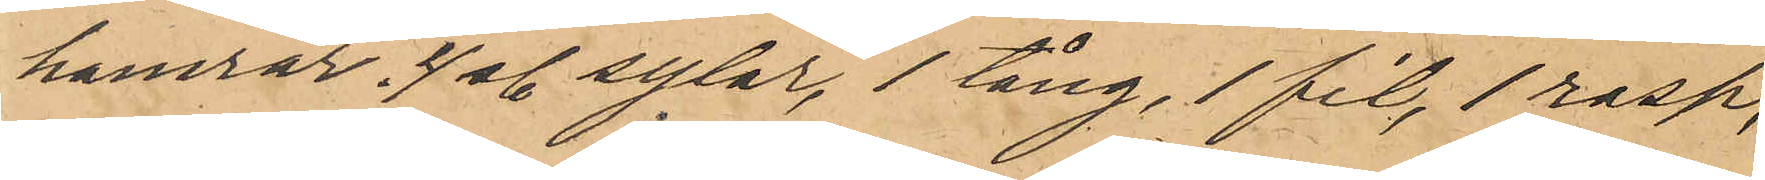hamrar, 4 st sylar, 1 tång, 1 fil, 1 rasp,
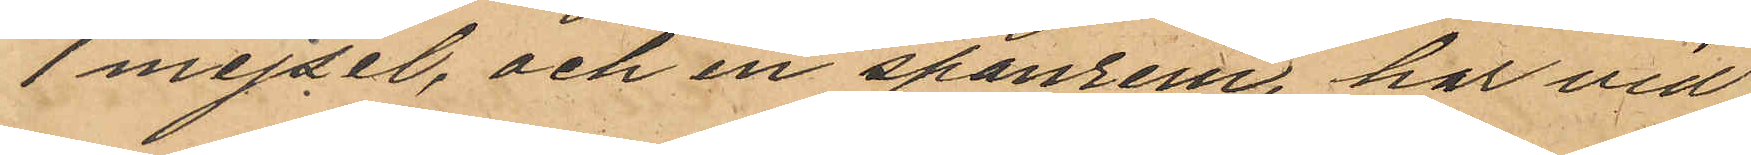1 mejsel, och en spanrem, har vid
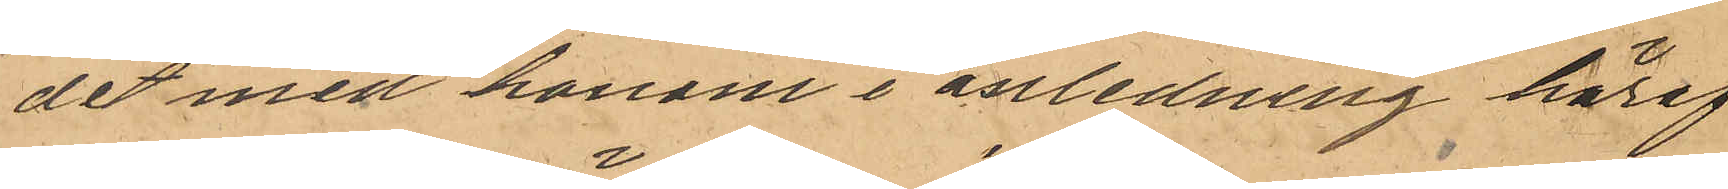det med honom i anledning häraf
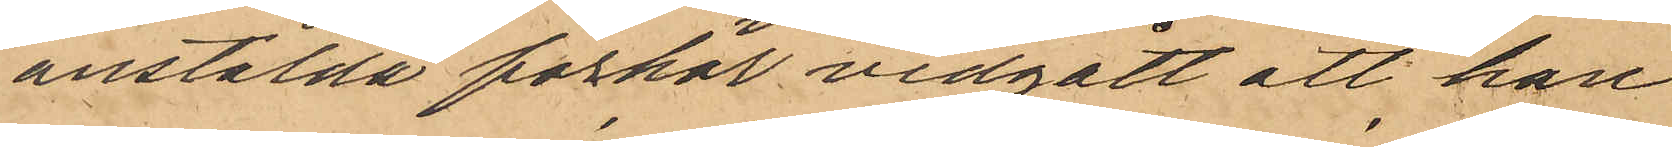anstälda förhör vidgått att han
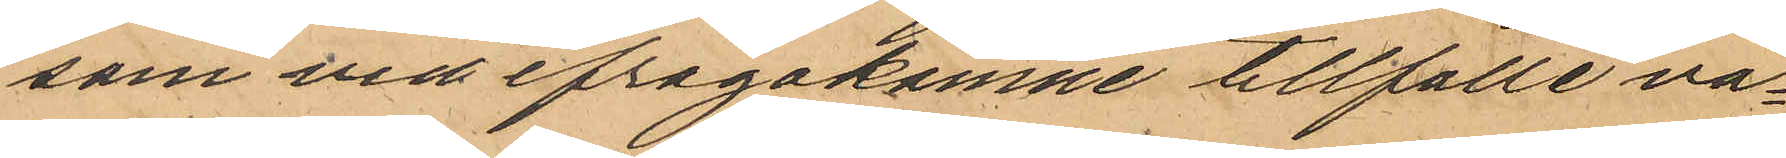som vid ifrågakomne tillfälle va¬
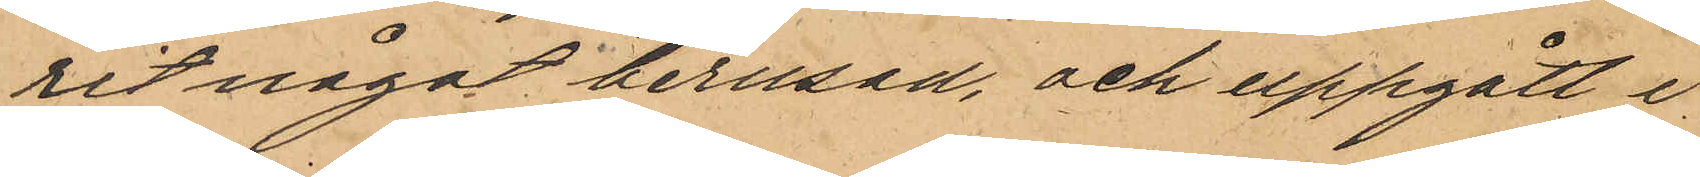rit något berusad, och uppgått i
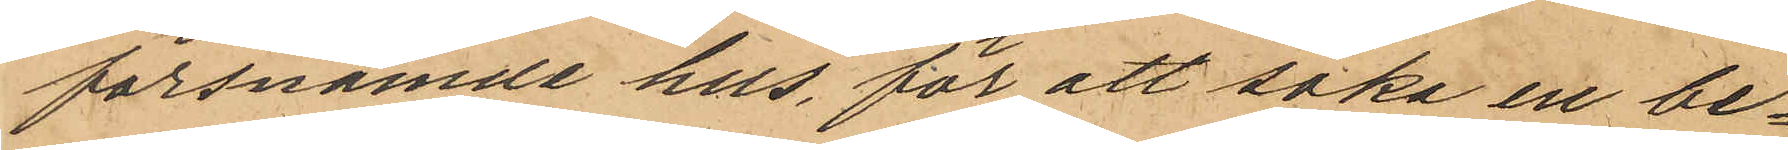försnämnde hus, för att söka en be¬
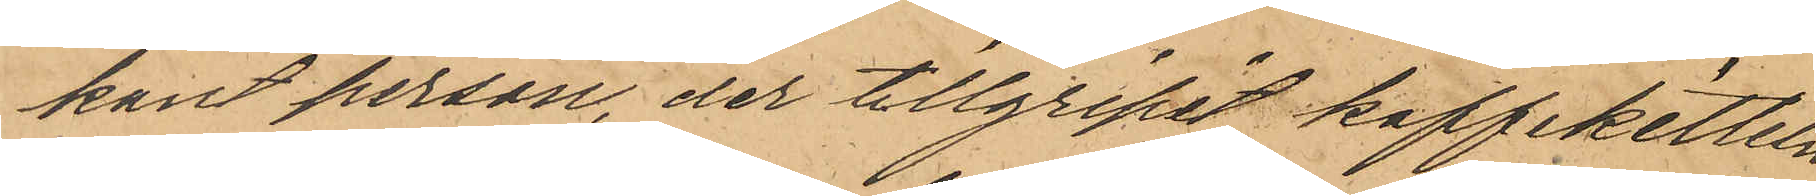kant person, det tillgripit kaffekitteln,
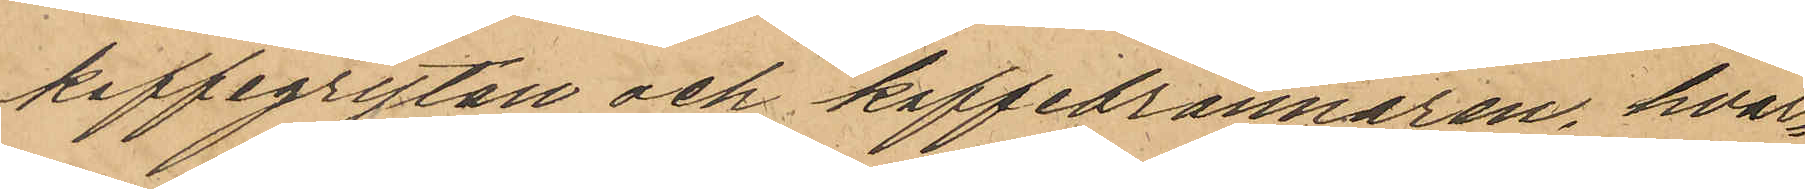kaffegrytan och kaffebrännaren, hvar¬
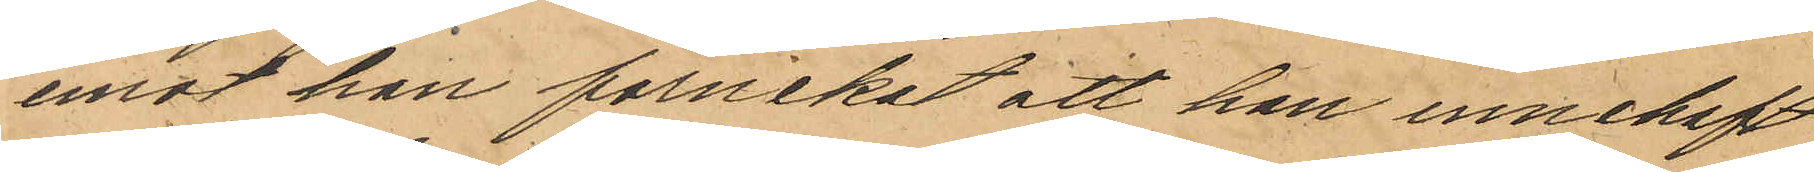emot han förnekat att han innehaft
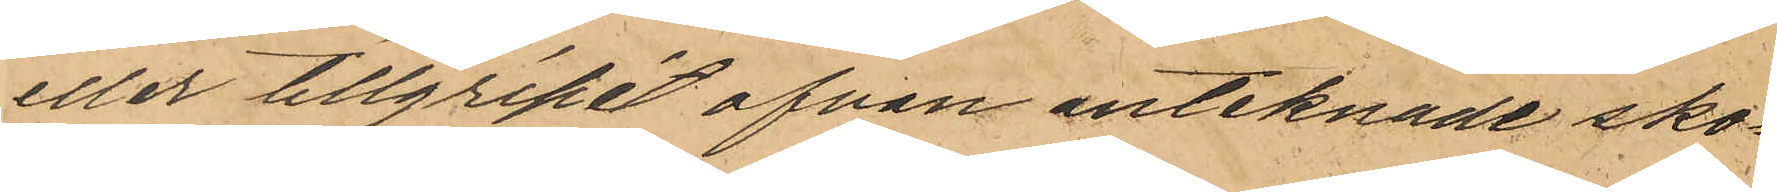eller tillgripit ofvan antecknade sko¬
